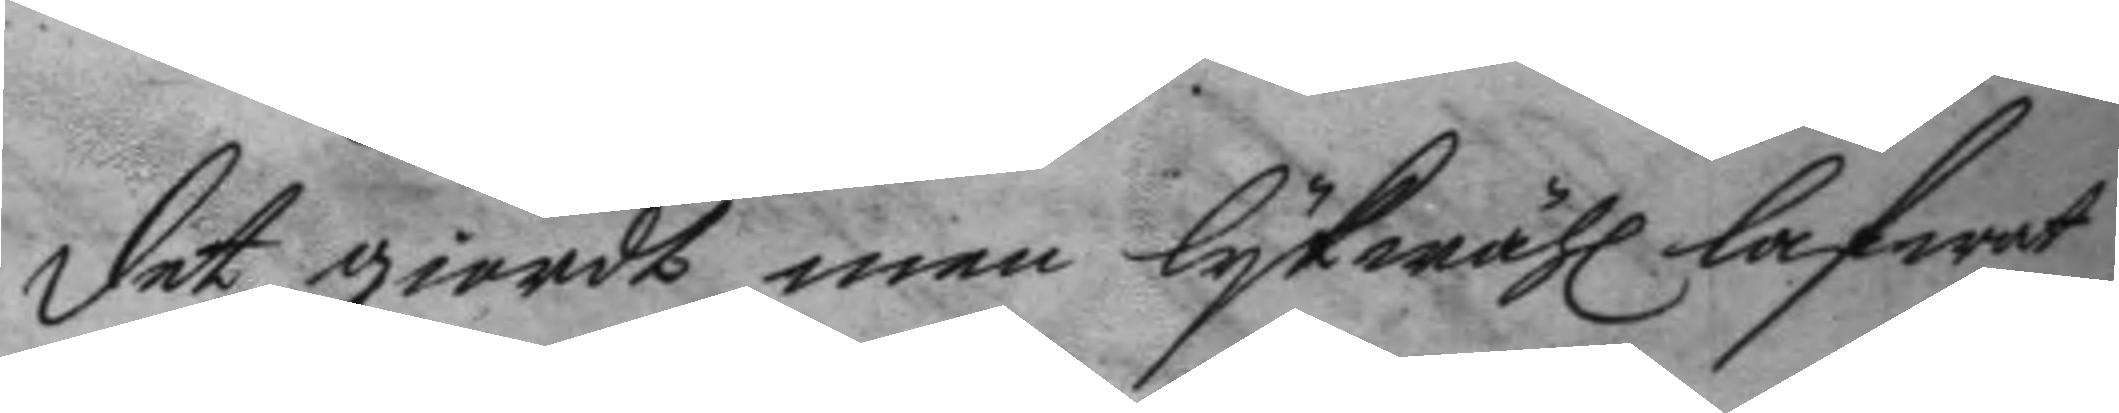det giorde, men lykwähl lafwat
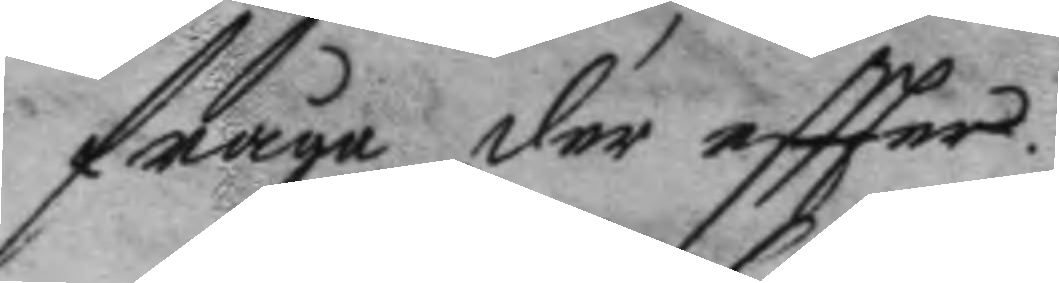fråga der eftter.
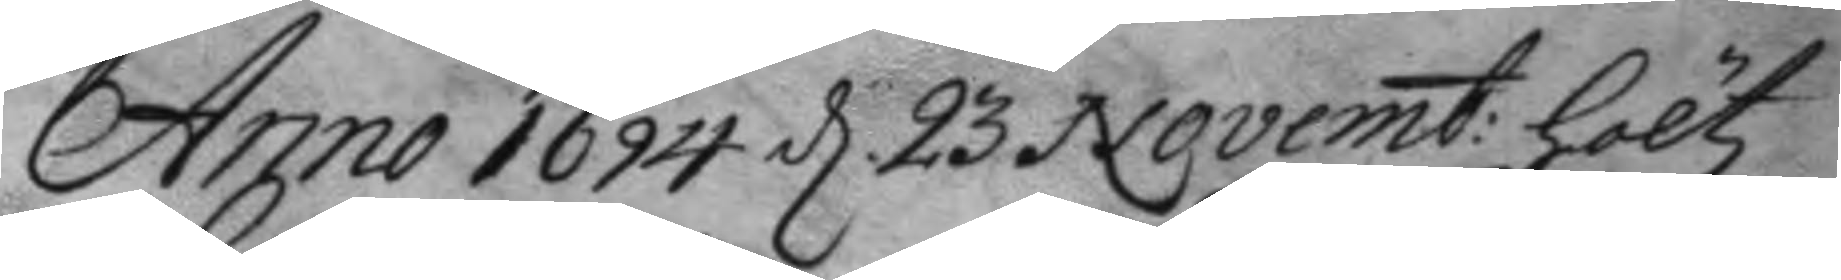Anno 1694 d. 23 Novemb: höltz
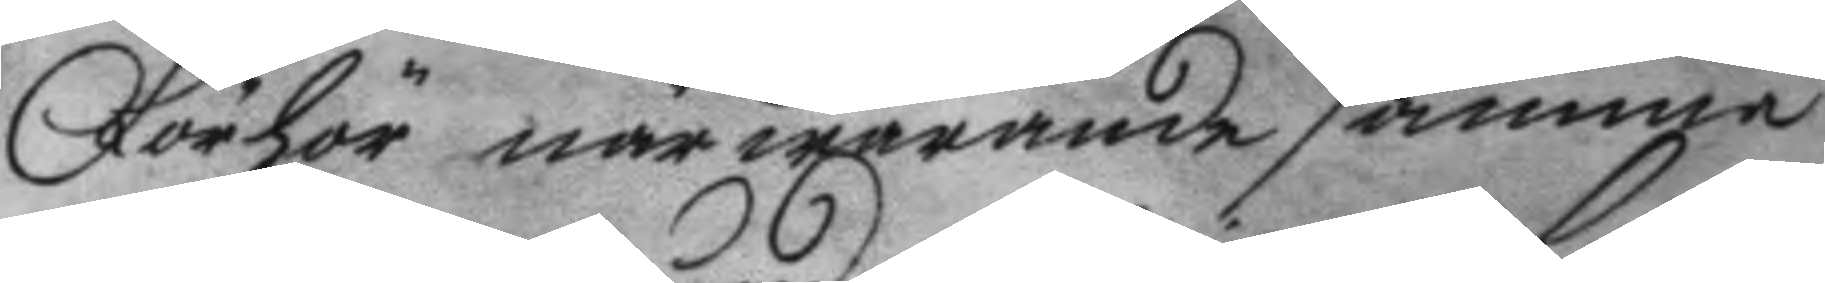Förhör närwarande samma
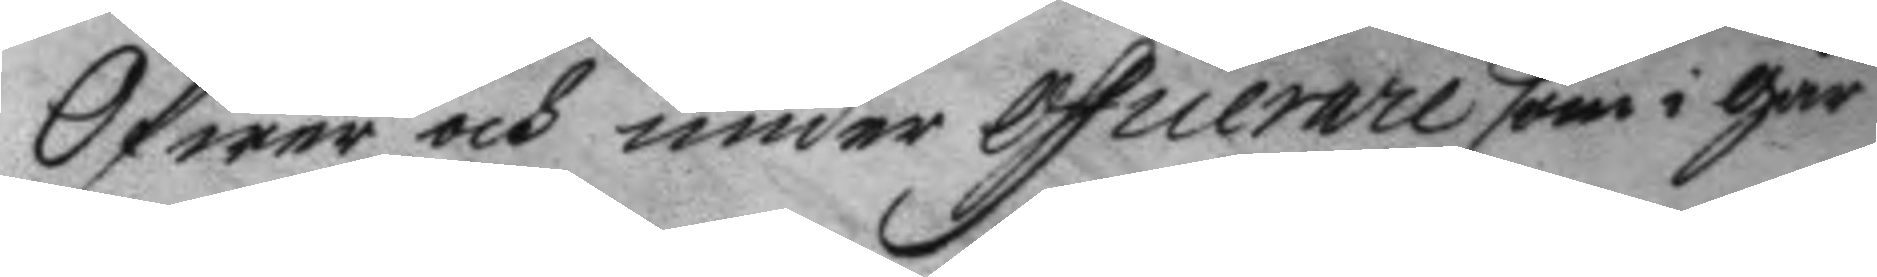Öfwer och under Officerare som i går
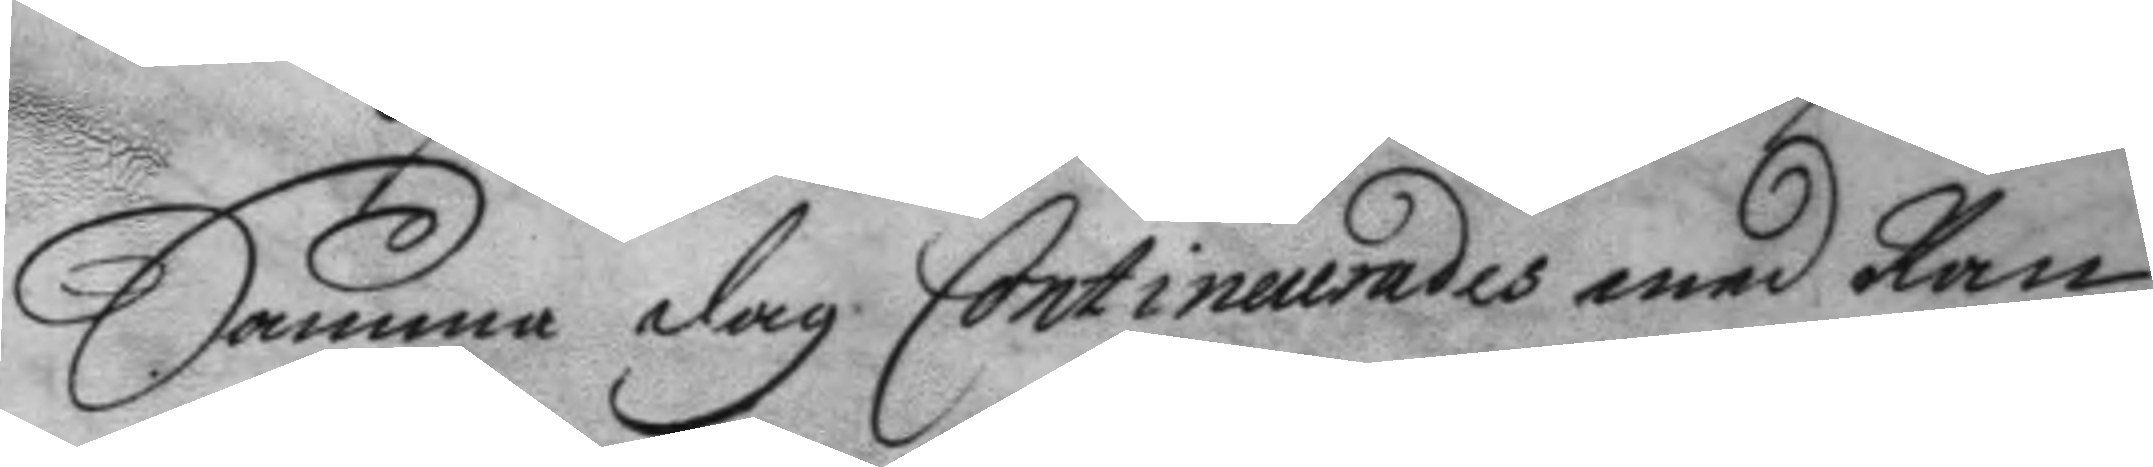Samma dag Continuaerades med Ran¬
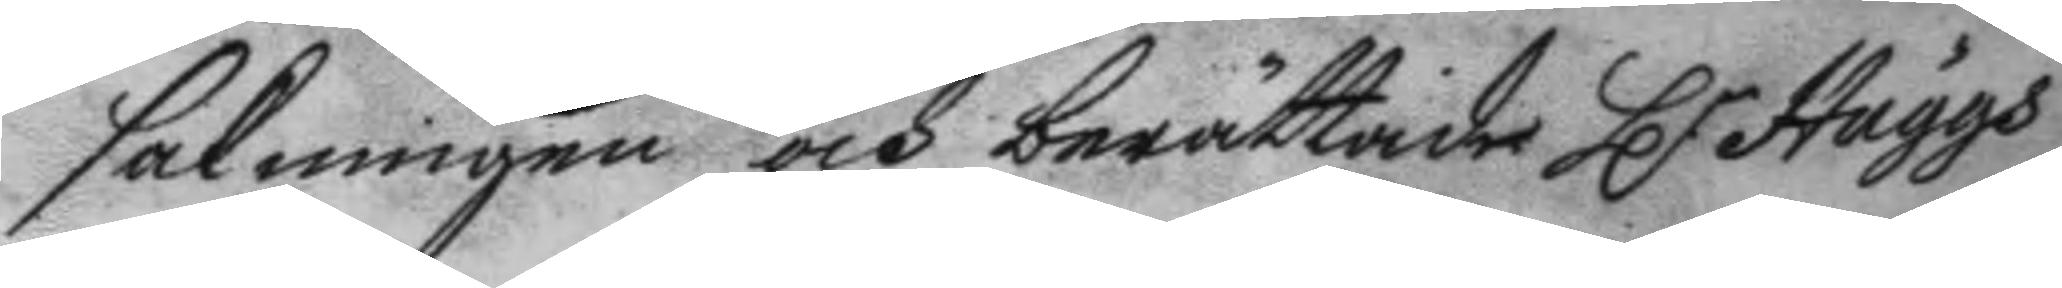sakningen och berättade H.r Häggs
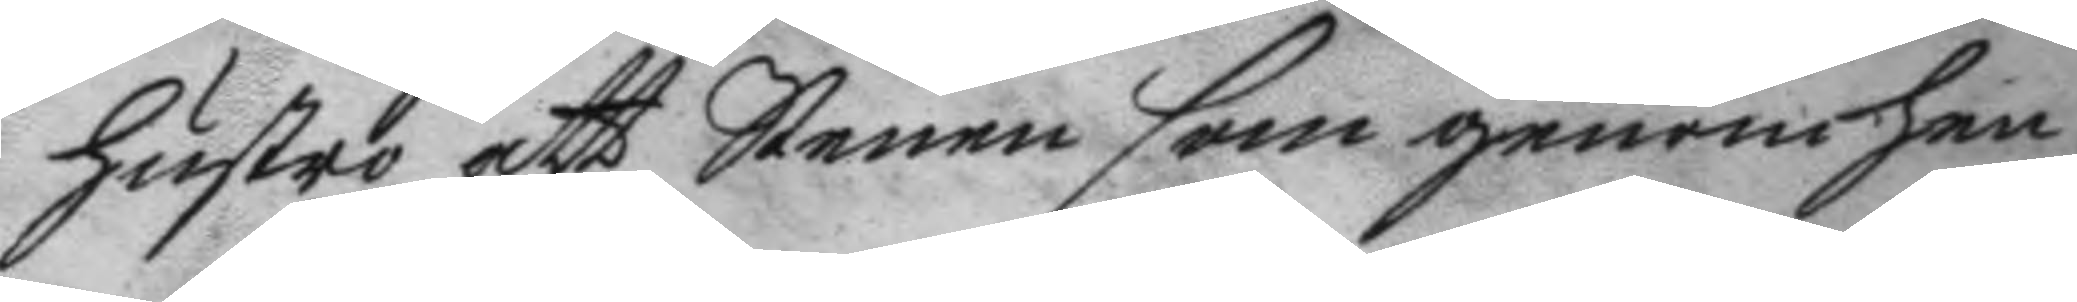hustru att Stenen som genom hen¬
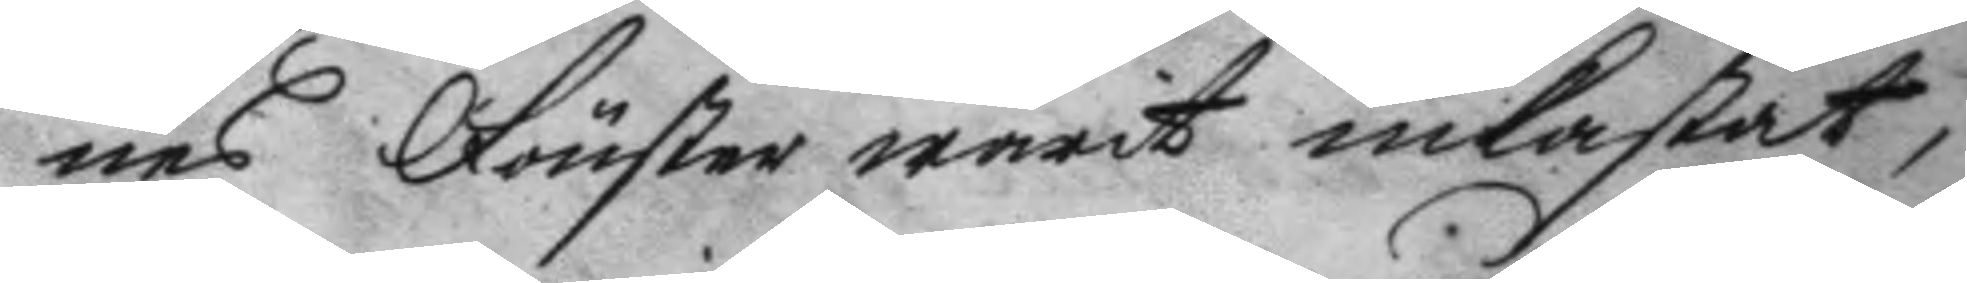nes Fönster warit inkastat
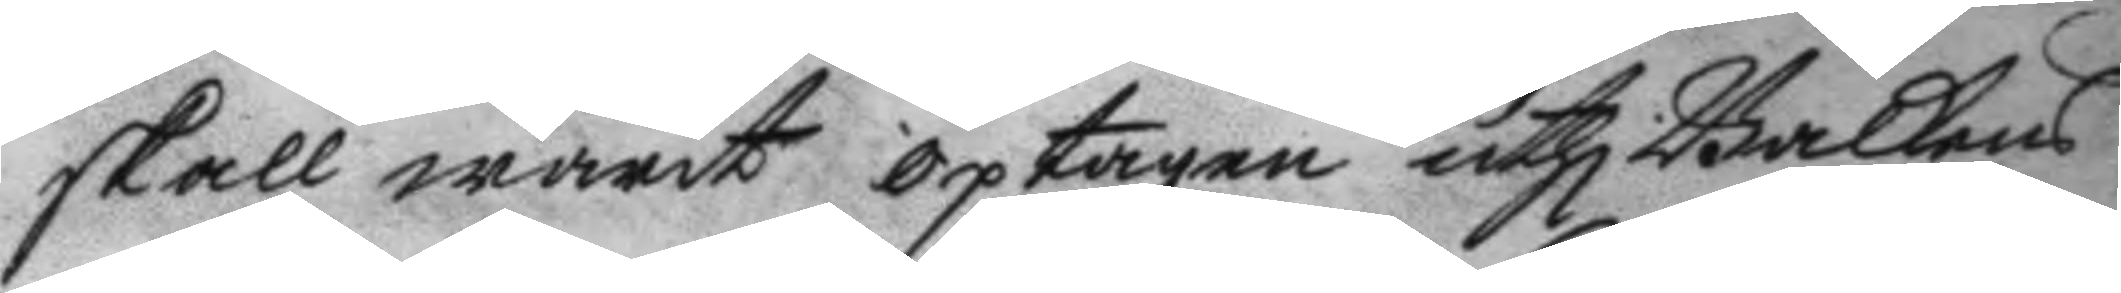skall warit optagen uthi Balkens
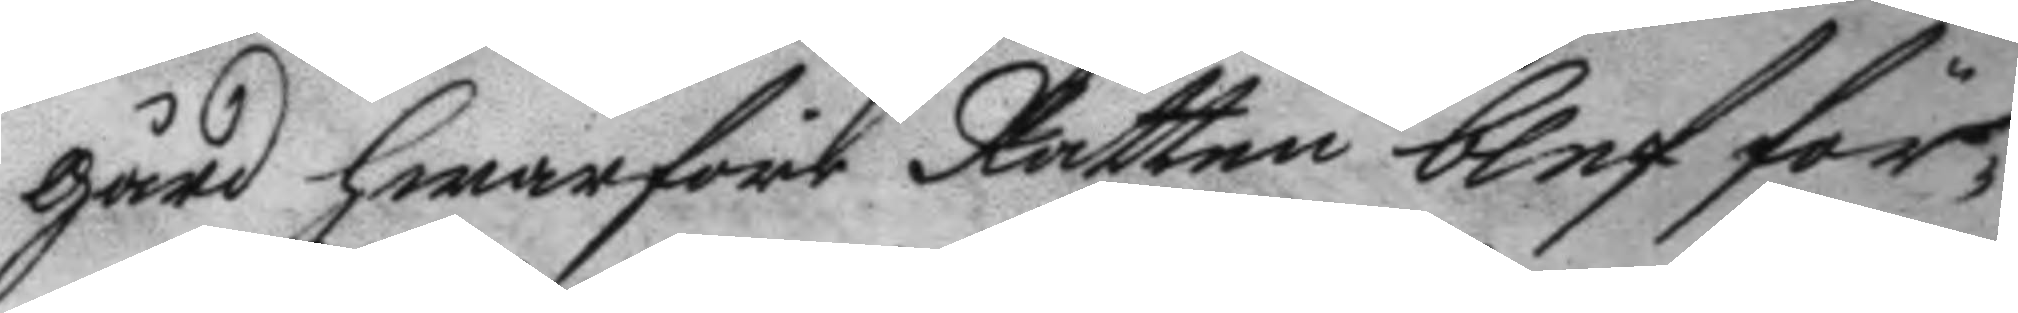gård hwarföre Rätten blef för¬
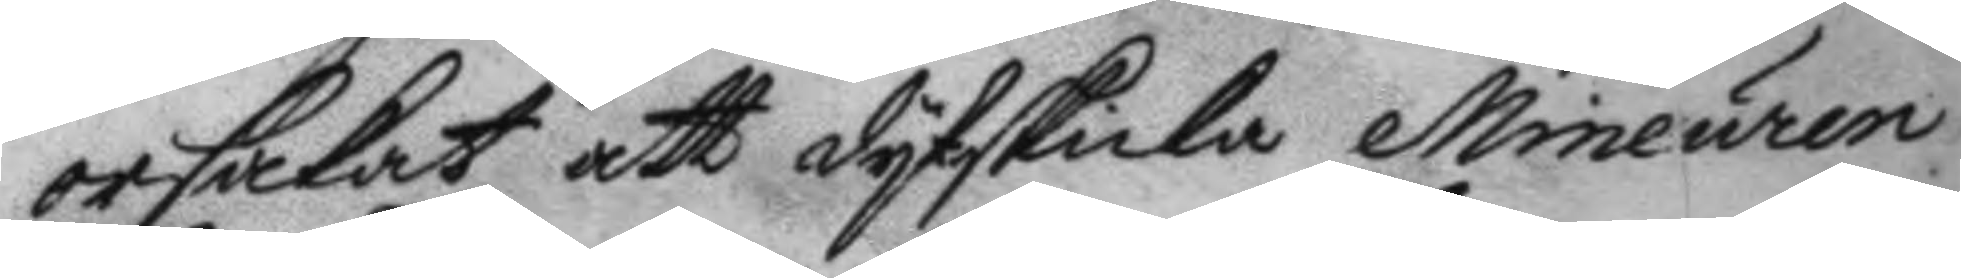orsakat att dytskicka Mineuren
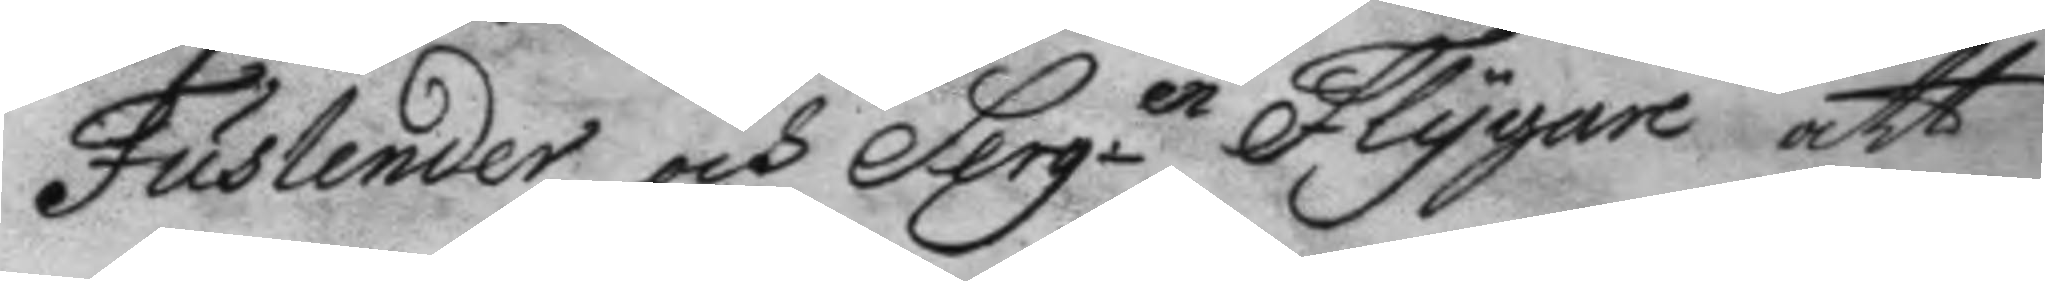Fuslender och Serg.en Flygare att
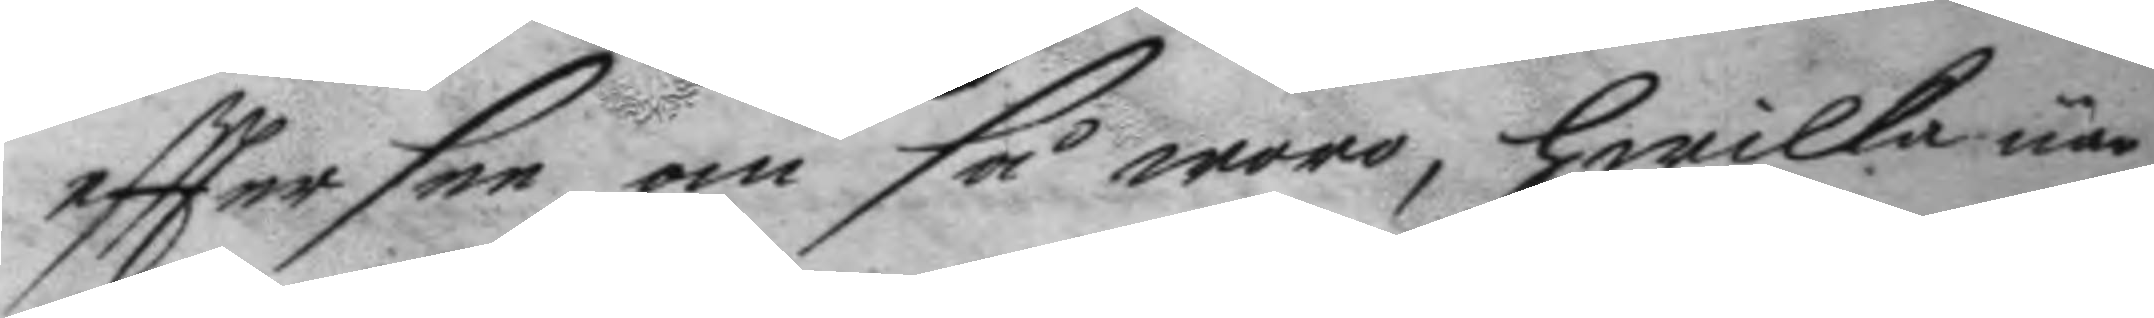eftter see om så woro, hwilket när
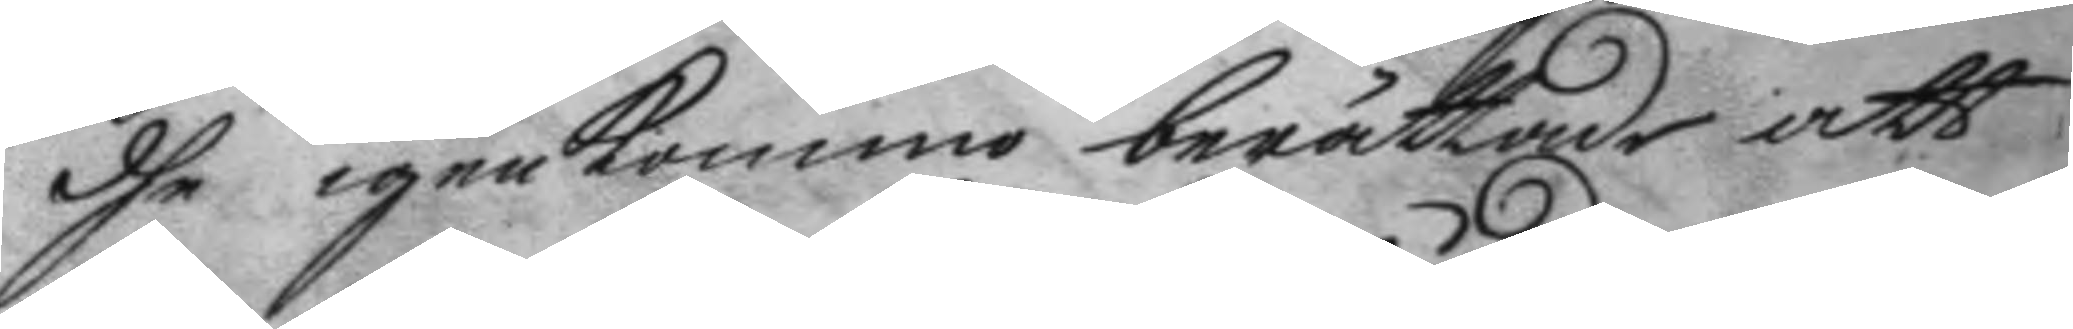dhe igenkommo berättade att
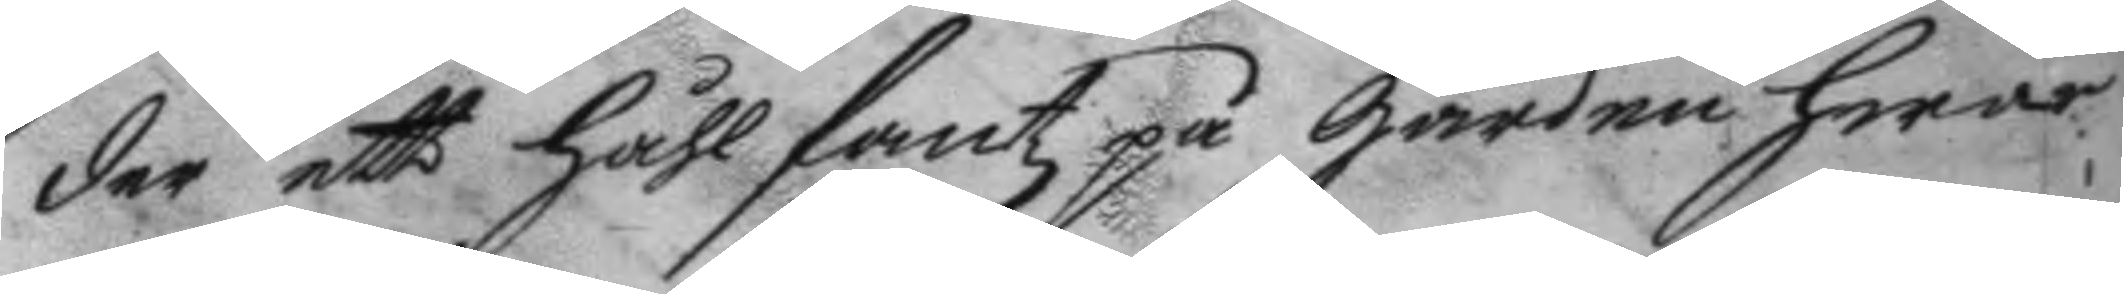der ett håhl fantz på gården hwar¬
